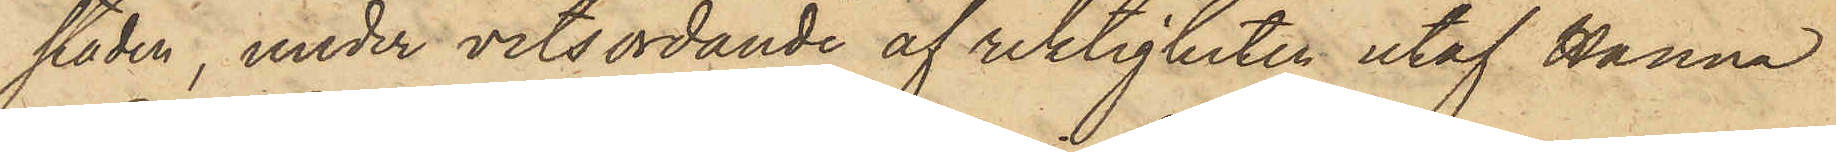staden, under vitsordande af riktigheten utaf Hanna
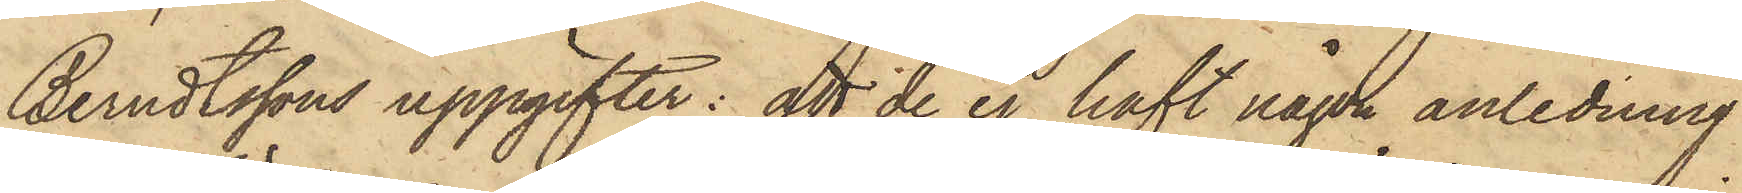Berndtssons uppgifter: att de ej haft någon anledning
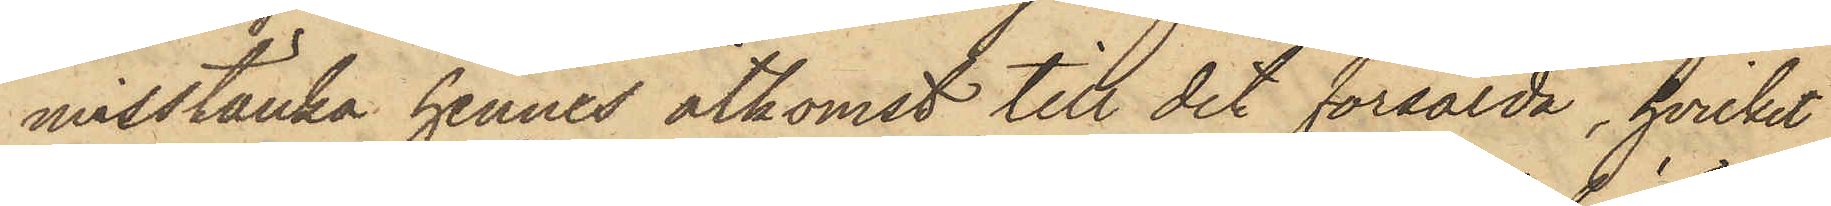misstänka hennes åtkomst till det försålda, hvilket
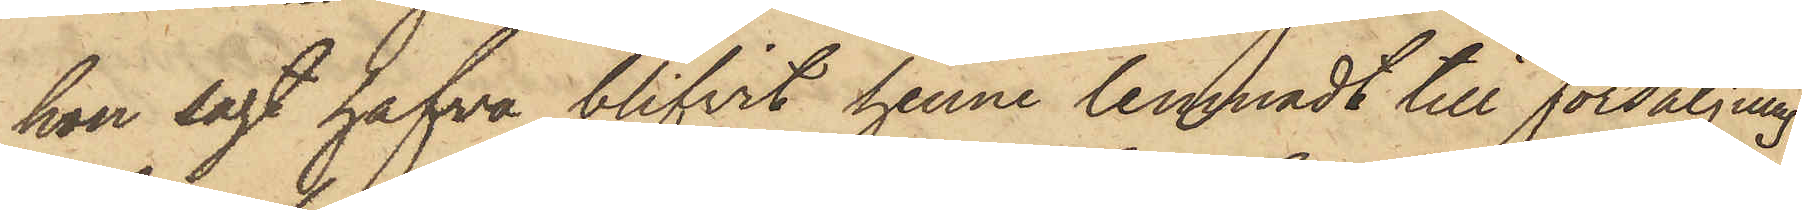hon sagt hafva blifvit henne lemnadt till försäljning
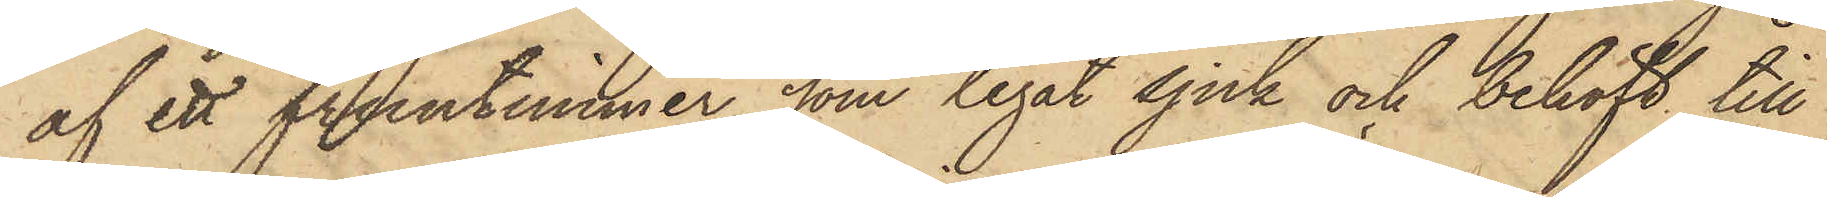af ett fruntimmer, som legat sjuk och behöft till
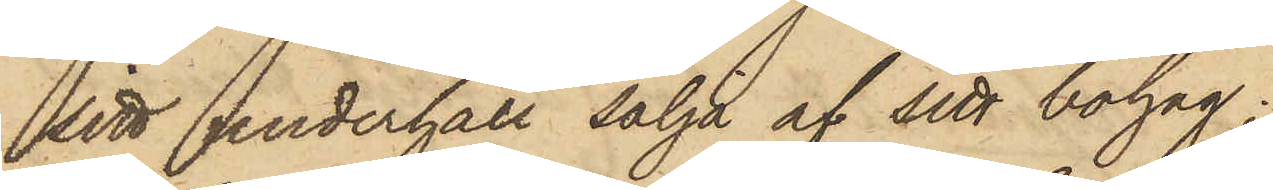sitt underhåll sälja af sitt bolag;
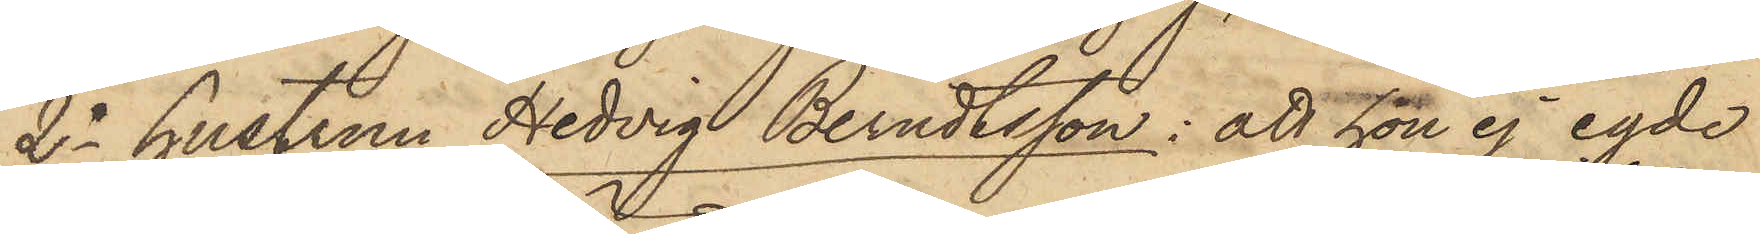2o hustrun Hedvig Berndtsson: att hon ej egde
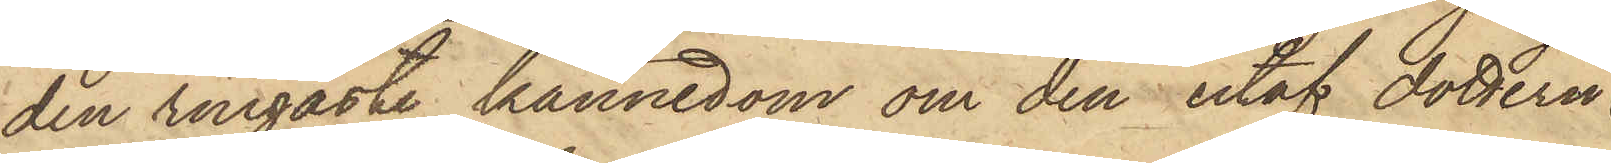den ringaste kännedom om den utaf dottern
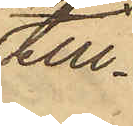till¬
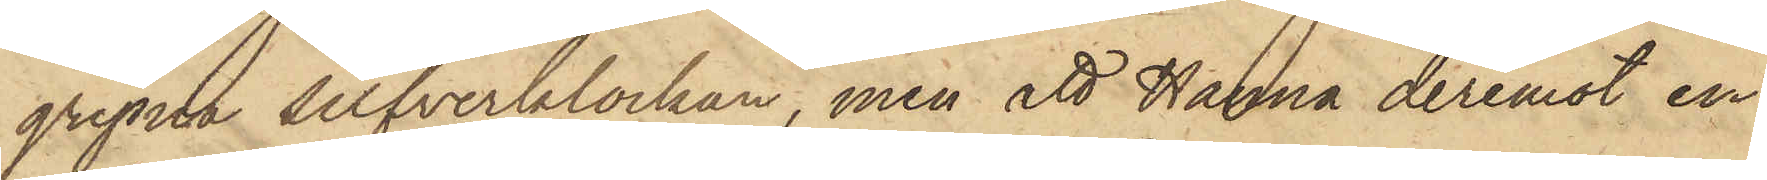gripna silfverklockan, men att Hanna deremot en
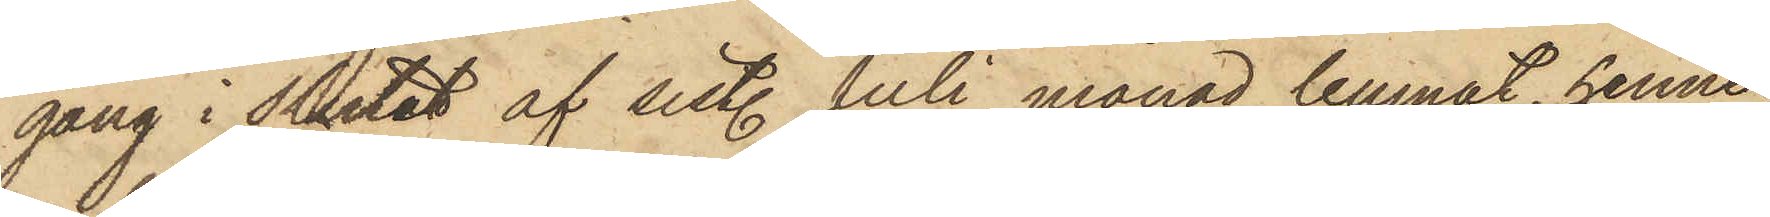gång i slutet af sistl. Juli månad lemnat henne
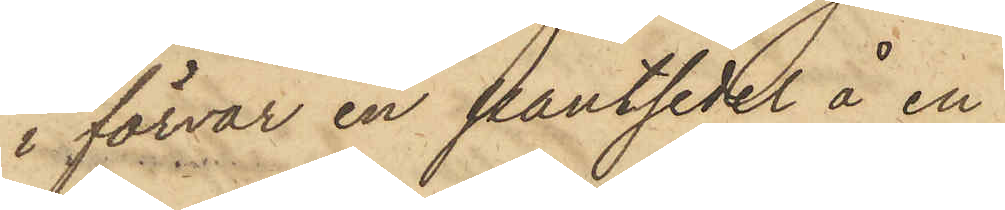i förvar en pantsedel å en
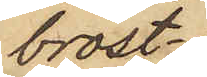bröst¬
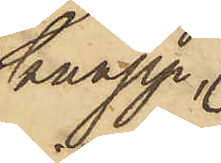knapp
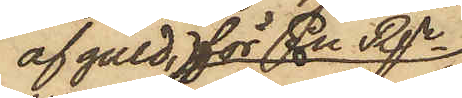af guld, för En Rgr
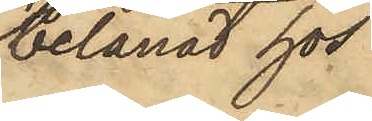belånad hos
